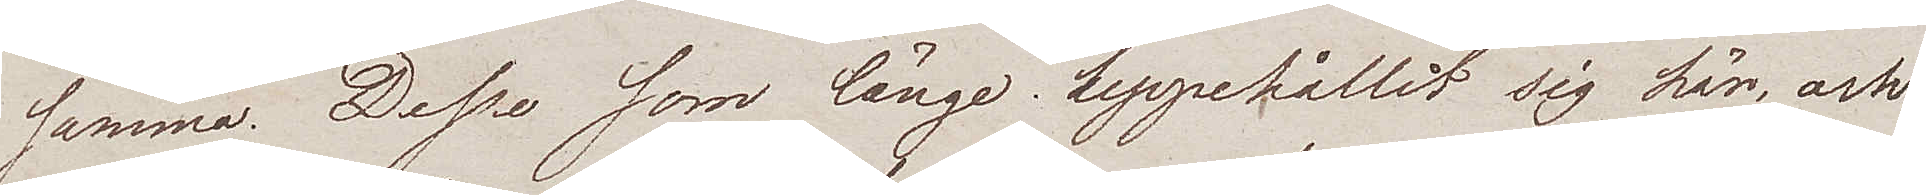samma. Desse som länge uppehållit sig här, och
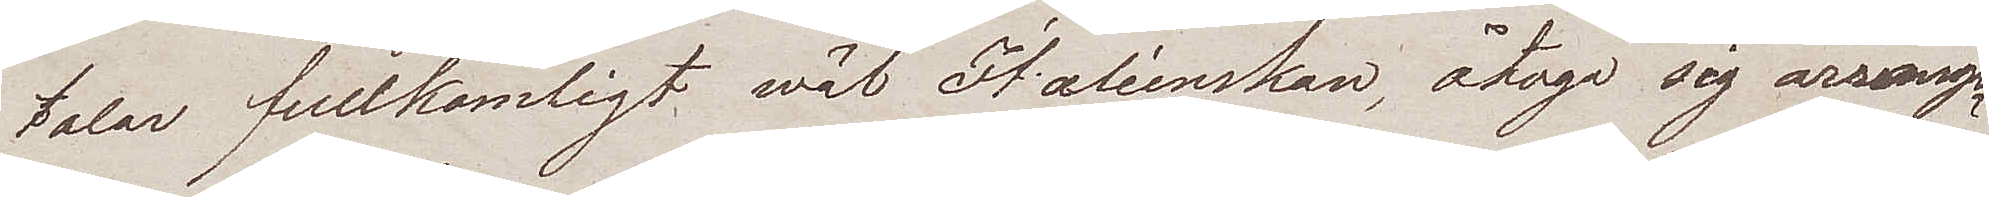talar fullkomligt wäl Italienskan, åtogo sig arrange¬
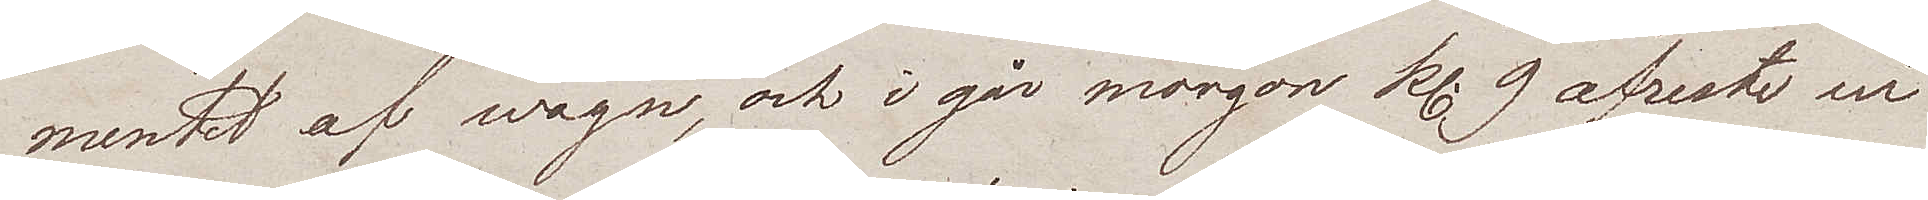mentet af wagn, och i går morgon kl. 9 afreste vi
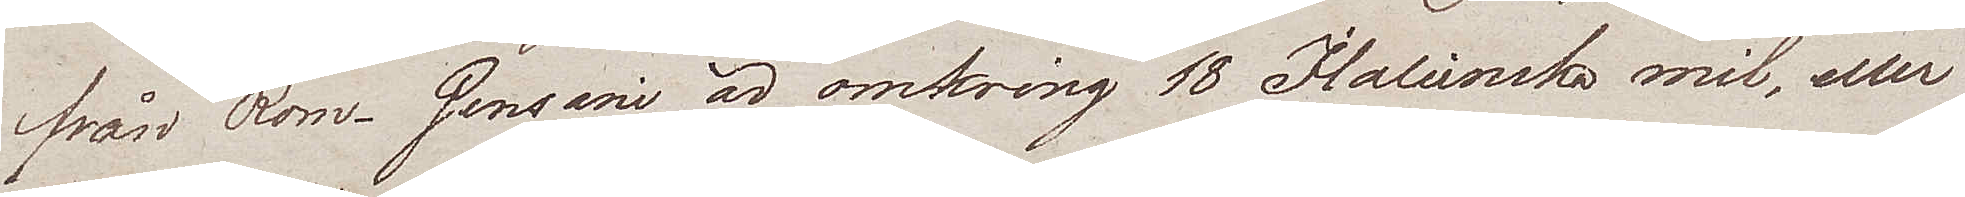från Rom. Gensani är omkring 18 Italienska mil, eller
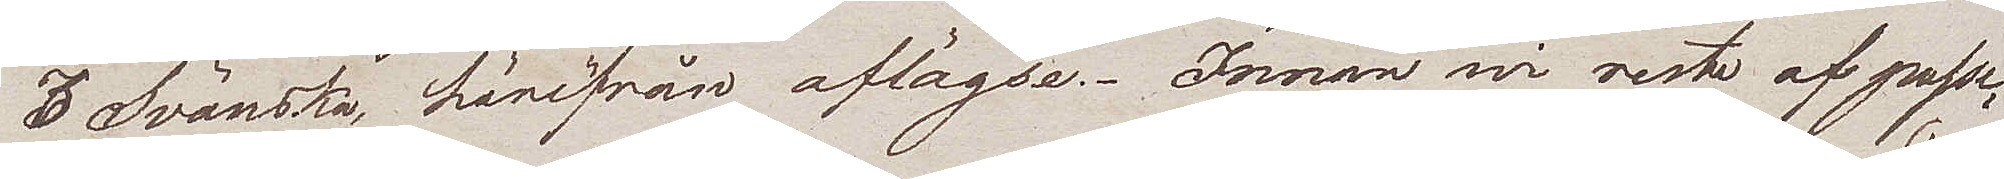3 Svänska, härifrån aflägse. Innan wi reste af passe¬
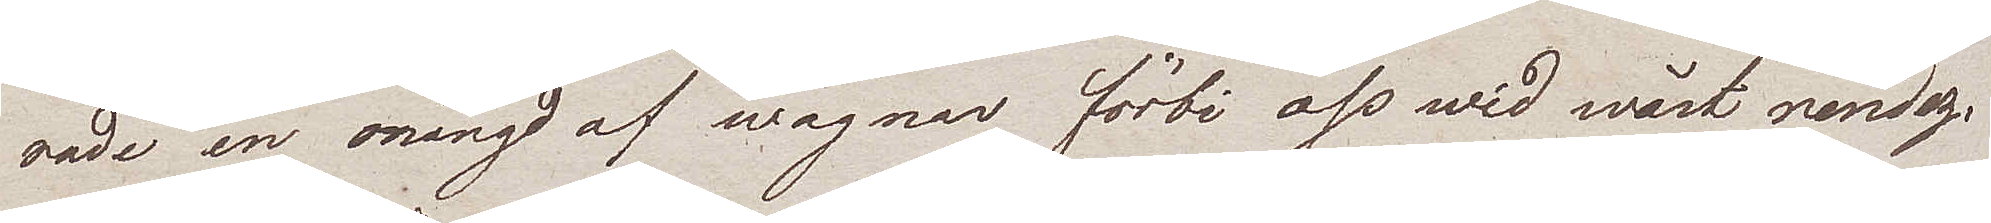rade en mängd af wagnar förbi oss wid wårt rendez-
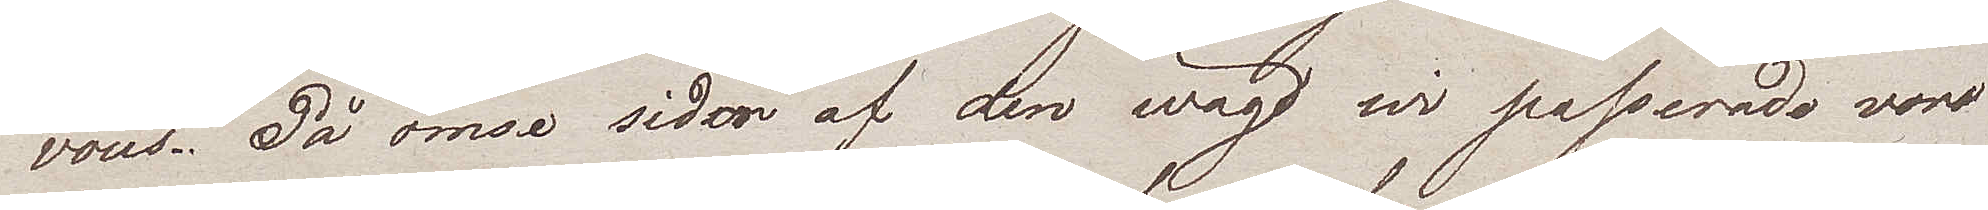vous. På ömse sidor af den wäg wi passerade voro
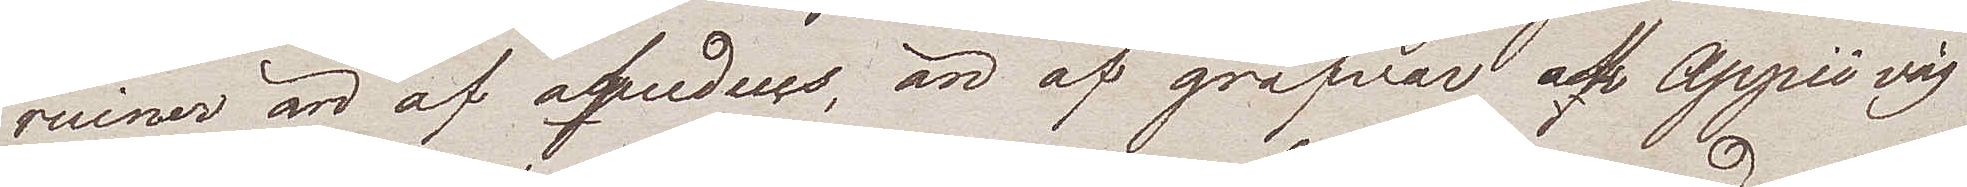ruiner än af aqudeus, än af grafvar och Appii väg
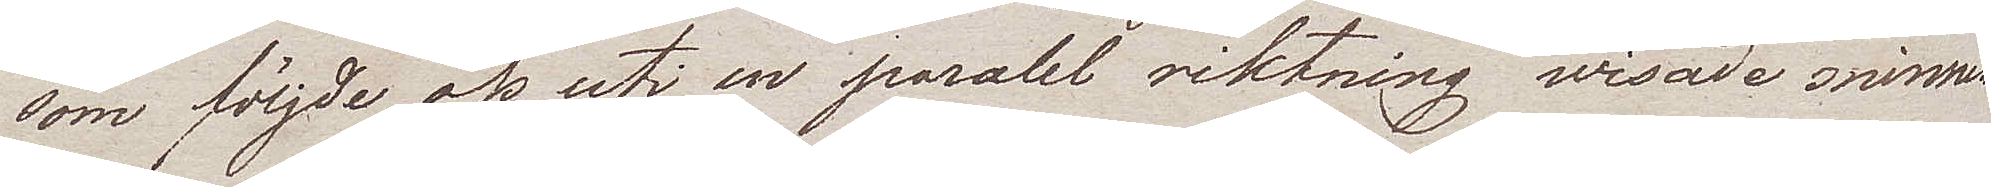som följde oss uti en paralel riktning wisade minnen
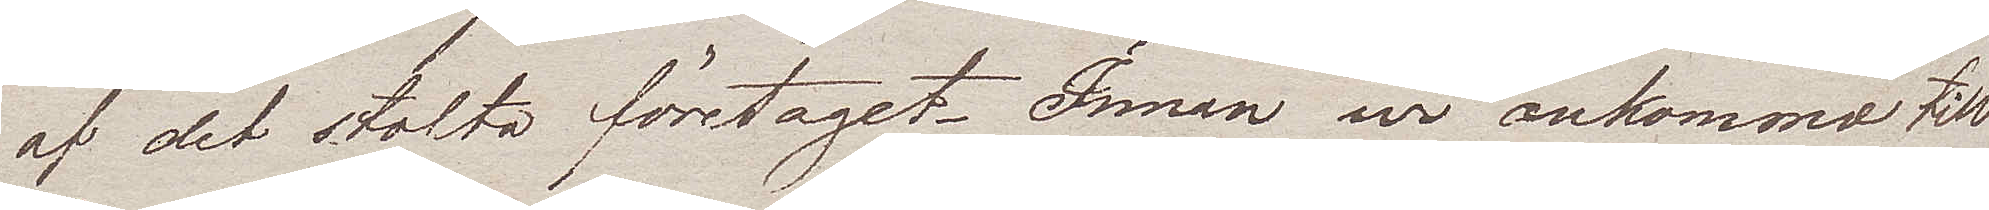af det stolta företaget. Innan wi ankommo till
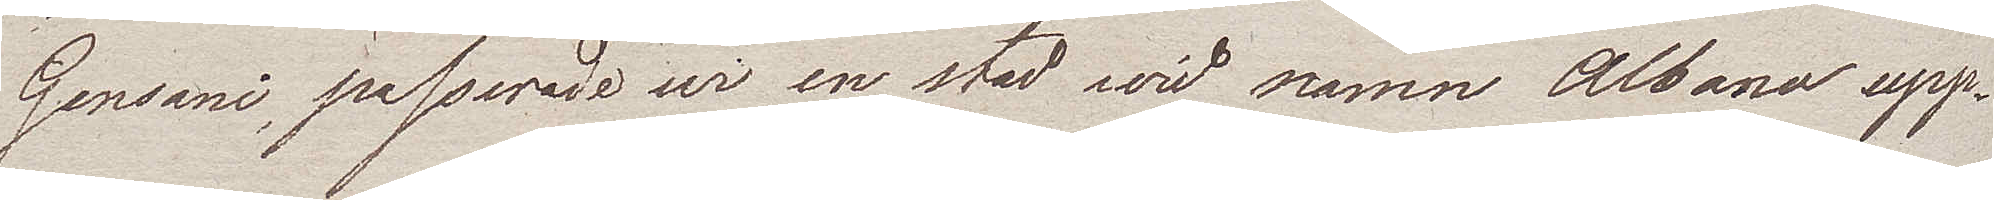Gensani, passerade wi en stad wid namn Albana upp¬
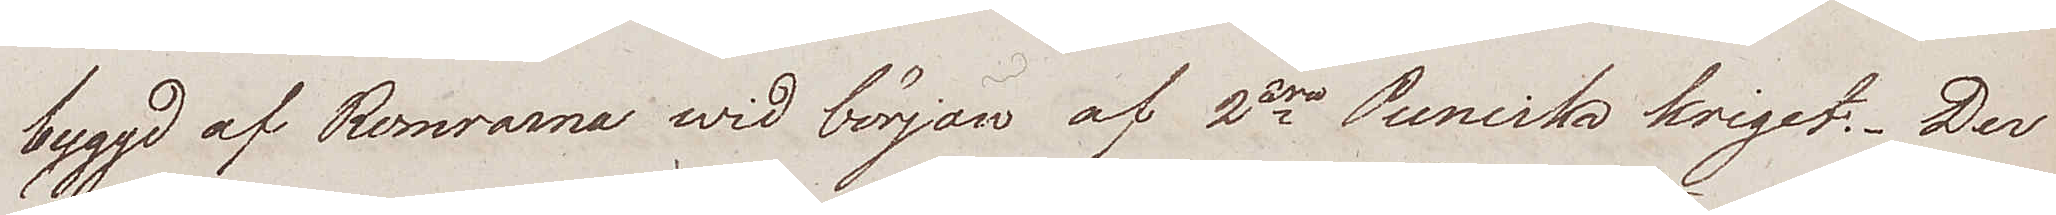byggd af Romrarna wid början af 2dra Puniska kriget. Der
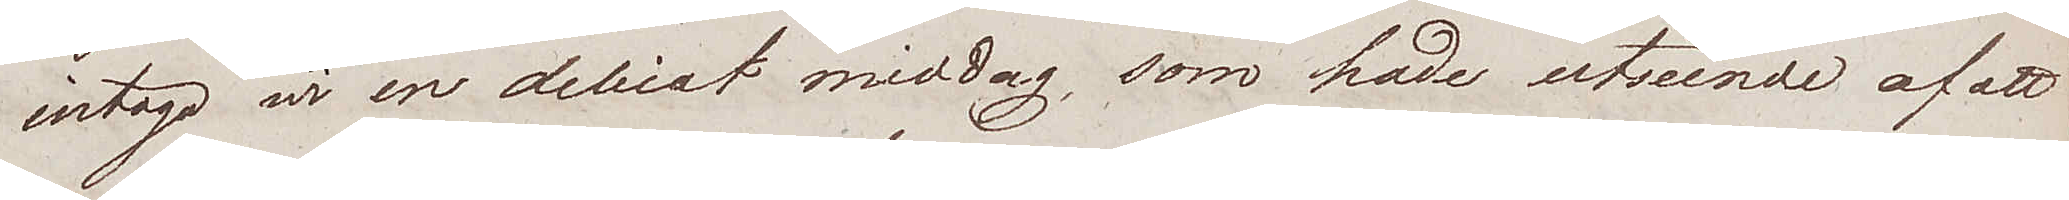intogo vi en delicat middag, som hade utseende af att
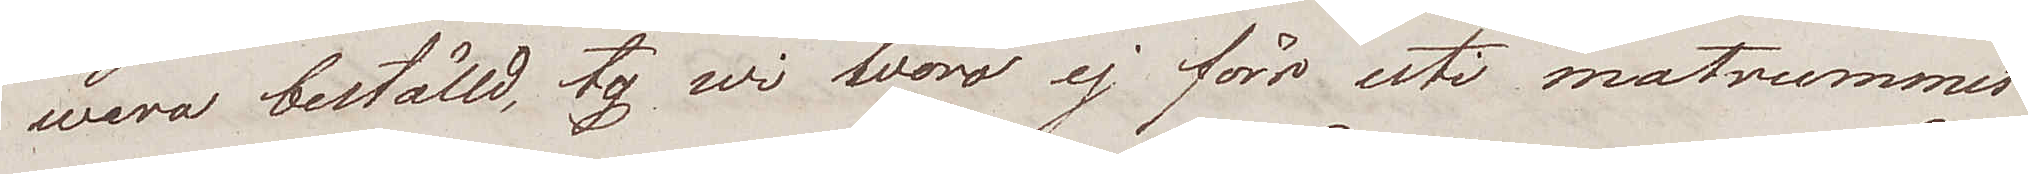wara beställd, ty wi woro ej förr uti matrummet
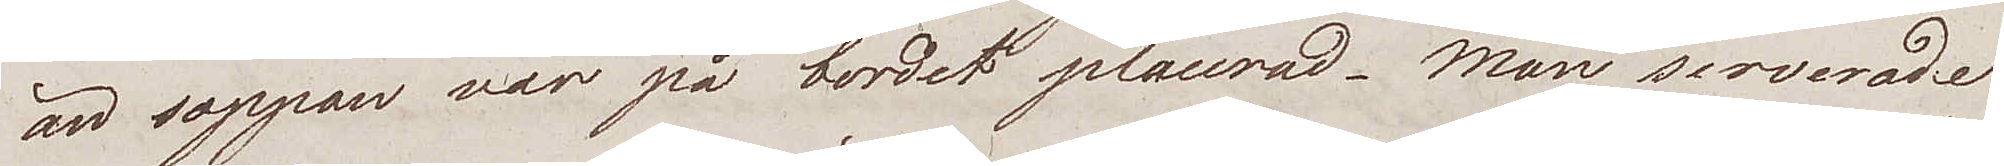än soppan var på bordet placerad. Man serverade
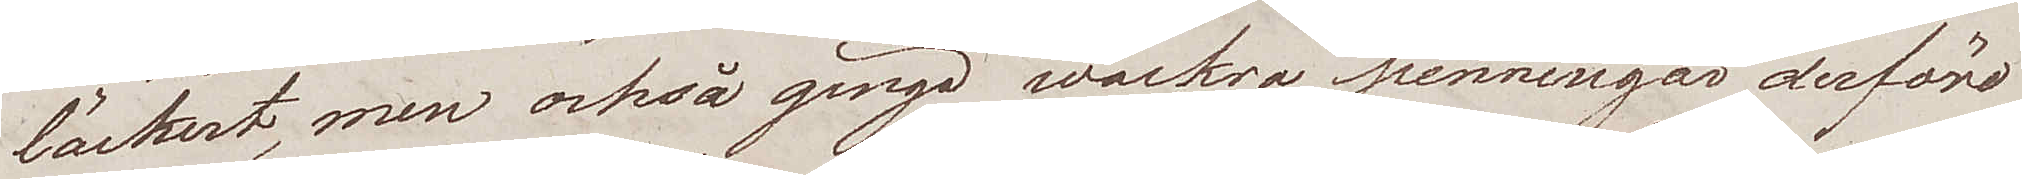läckert, men också gingo wackra penningar derförd
